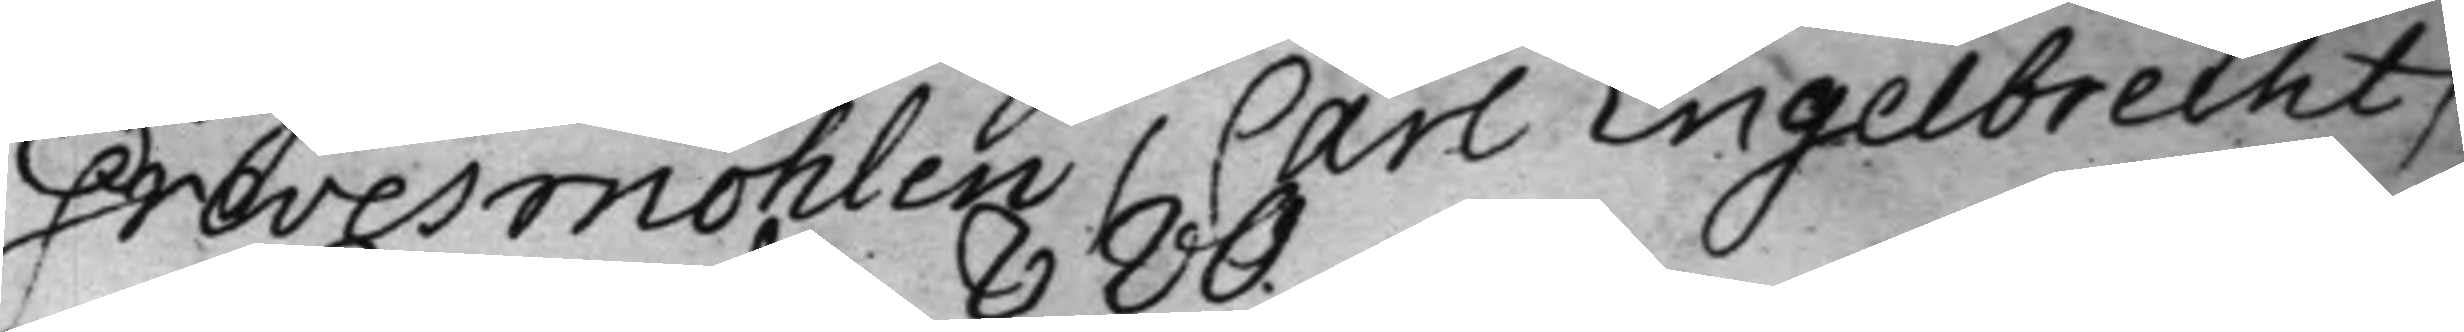Grevesmöhlen / Carl Engeibrecht /
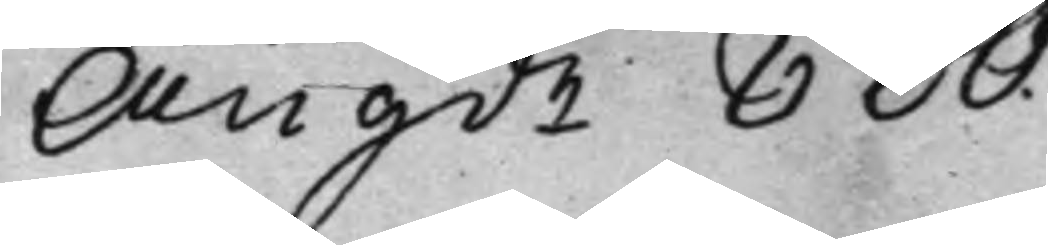Angde 880.
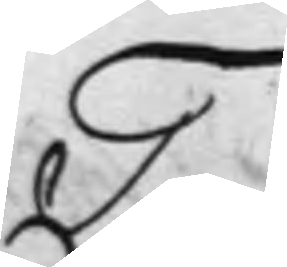T.
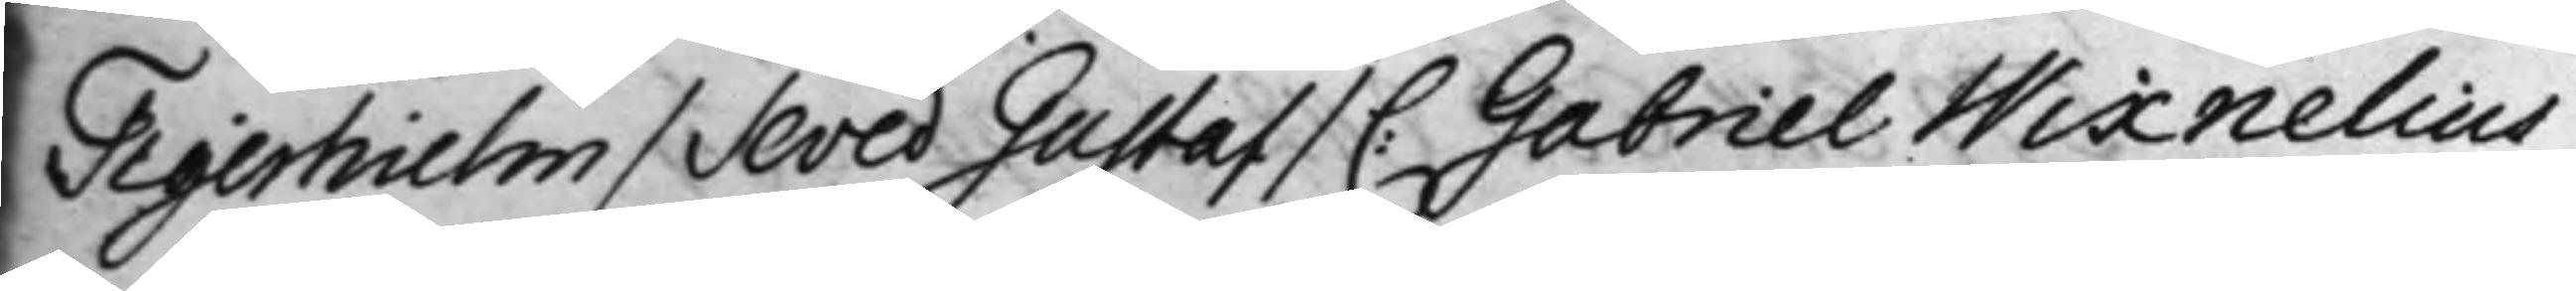Tigerhielm / Seved Gustaf / C: Gabriel Wixnelius
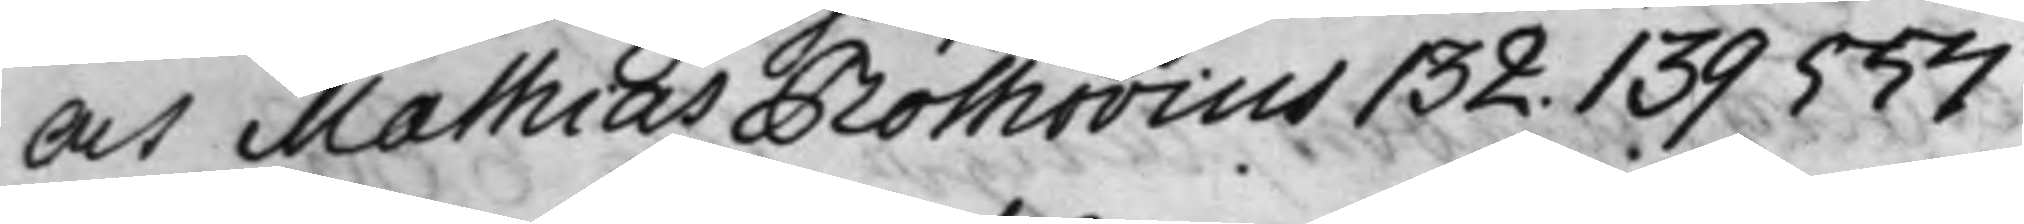och Mathias Rothovius 132. 139 557
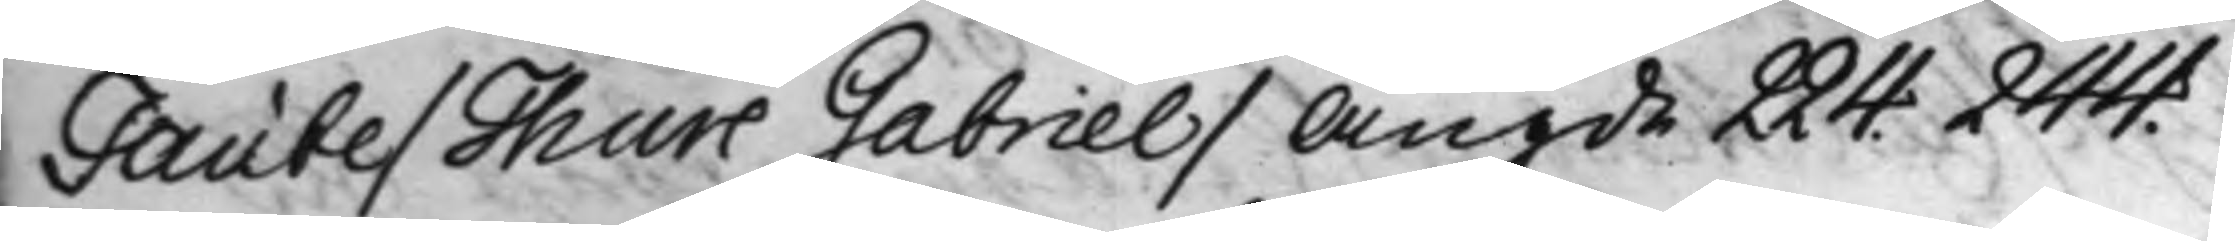Taube / Thure Gabriel / Angde 224. 244.
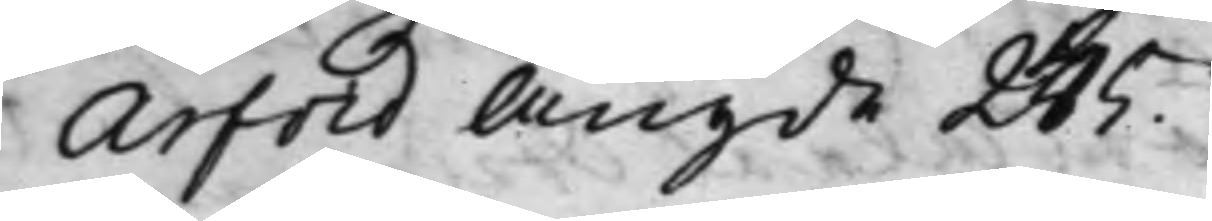-""- Arfvid Angde 245.
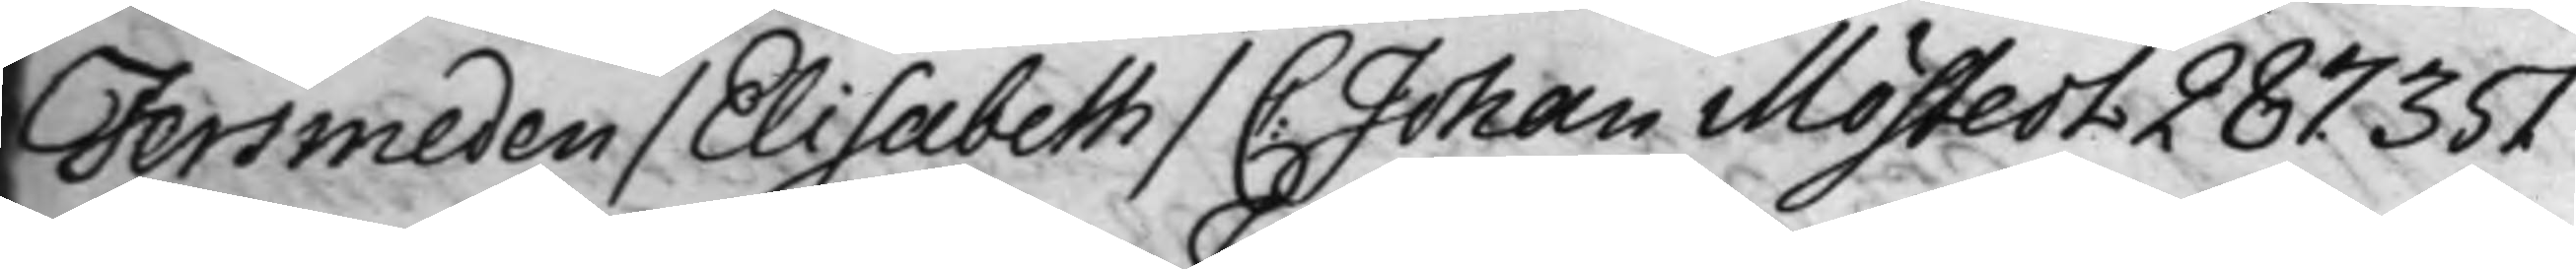Tersmeden / Elisabeth / C. Johan Mostedt 287. 351
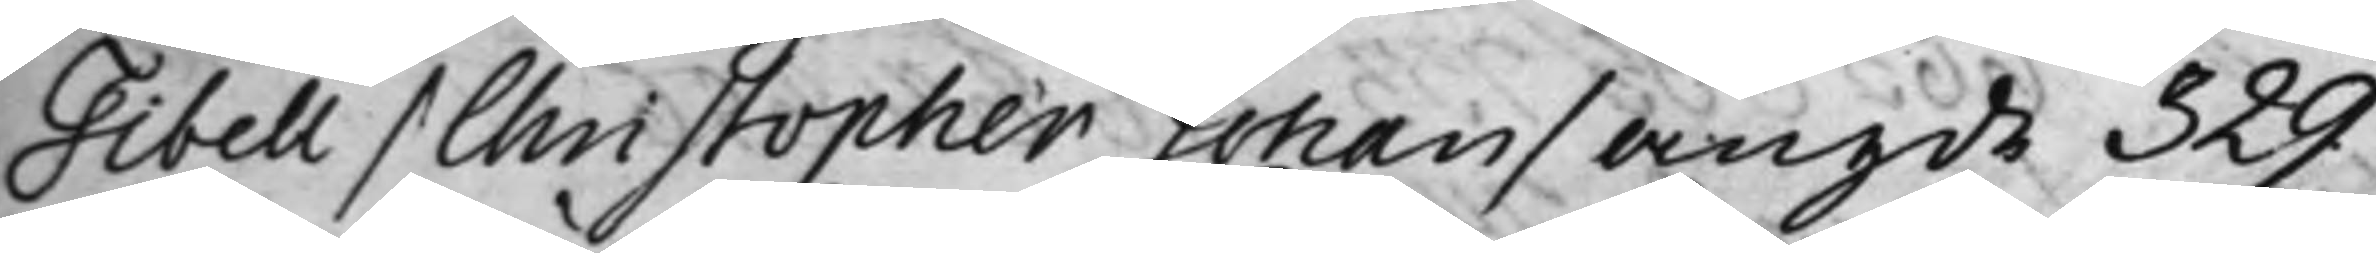Tibell / Christopher Johan / angde 329.
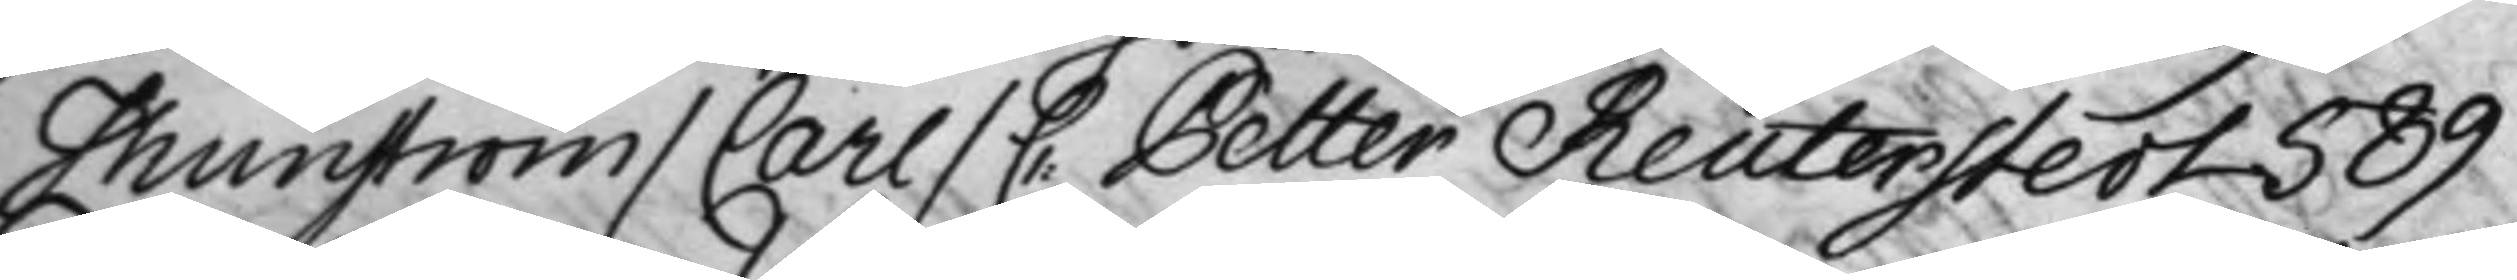Thunström / Carl / C. Petter Reuterstedt 589 
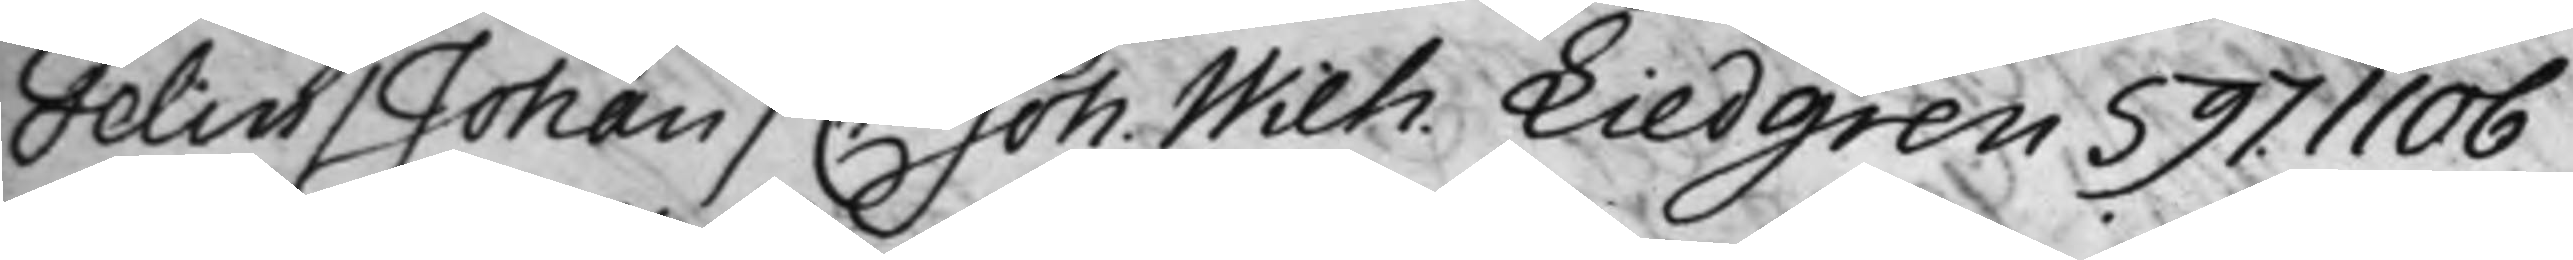Telin / Johan / C. Joh: Wilh. Liedgren 597. 1106
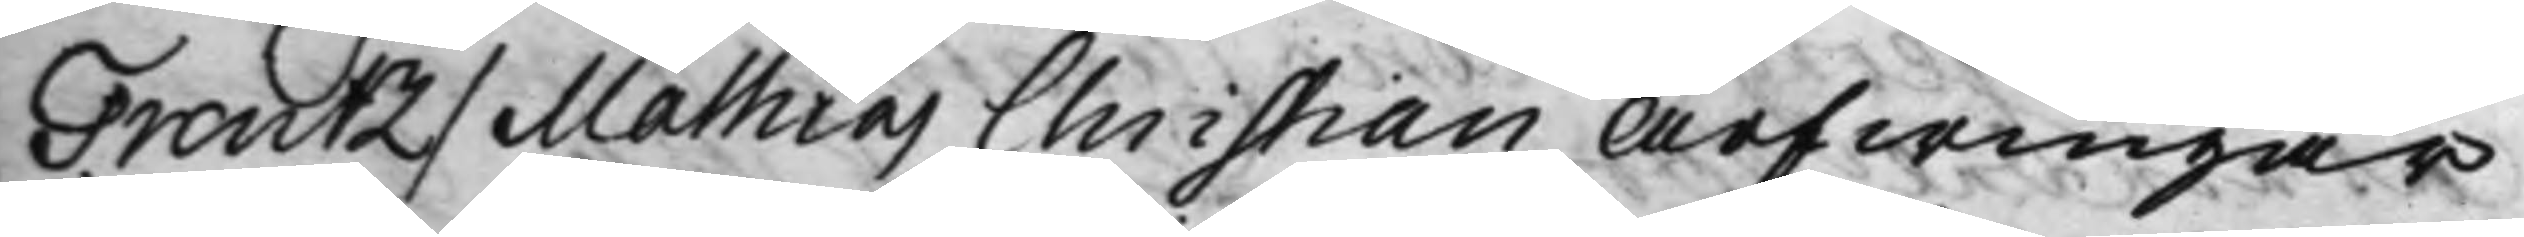Trentz / Mathias Christian Arfwingar
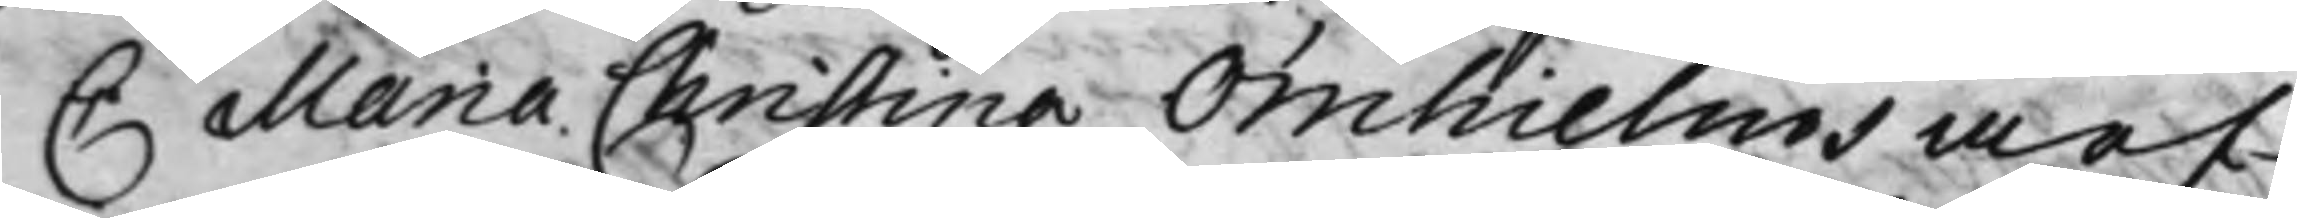C Maria Christina Örnhielms arf¬
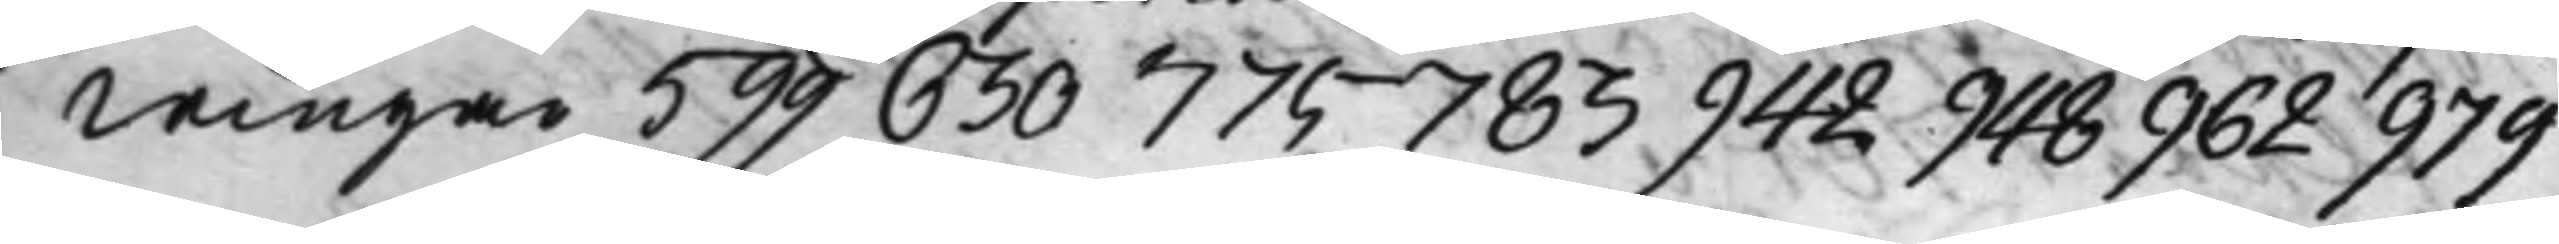wingar 599 630 775 783 942 948 962 979
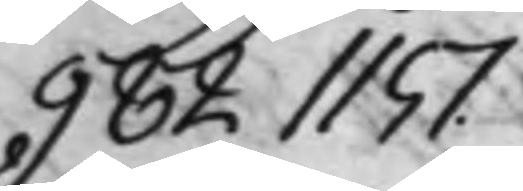982 1151.
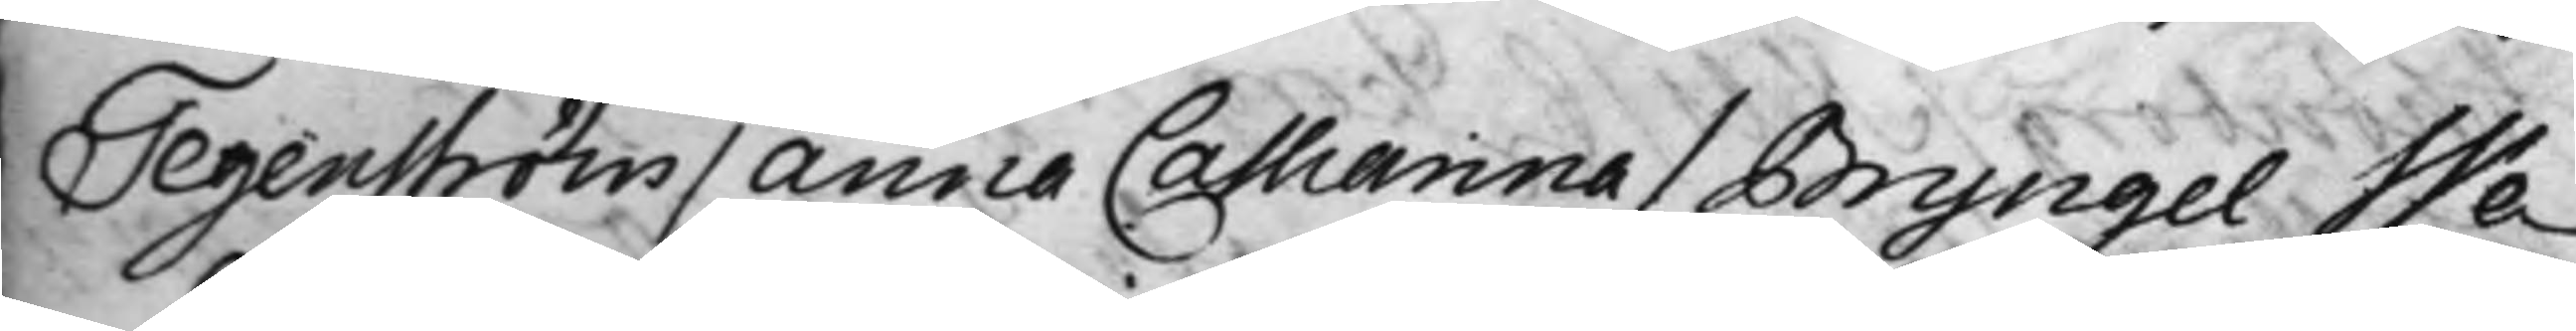Tegenström / Anna Catharina / Bryngel We¬
